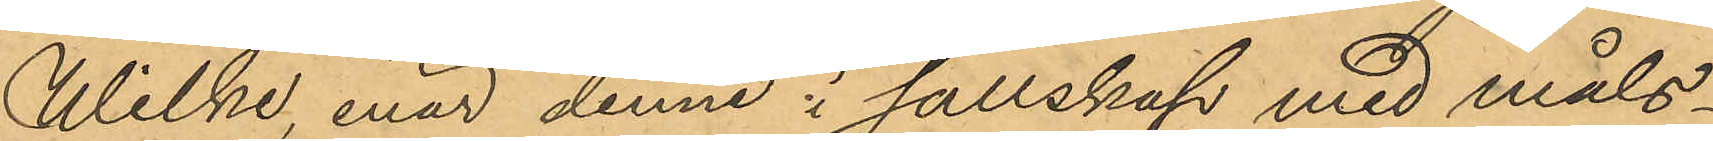Wilke, enär denne i sällskap med måls¬
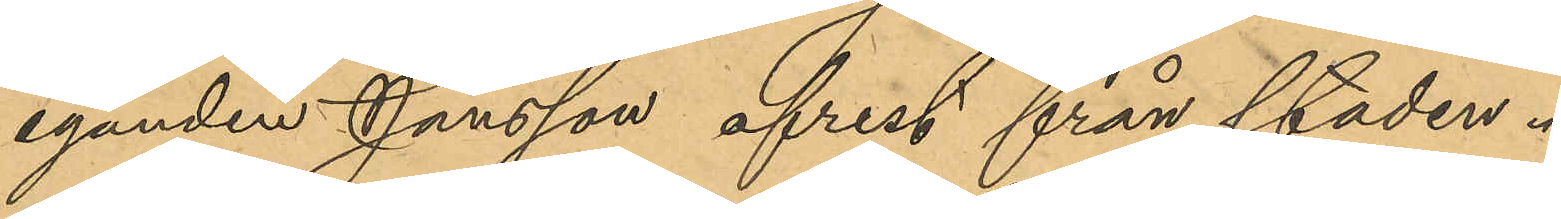eganden Jansson afrest från staden.
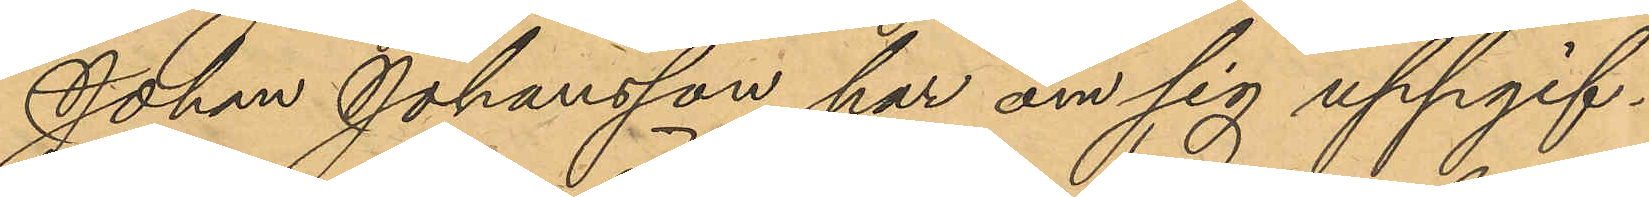Johan Johansson har om sig uppgif¬
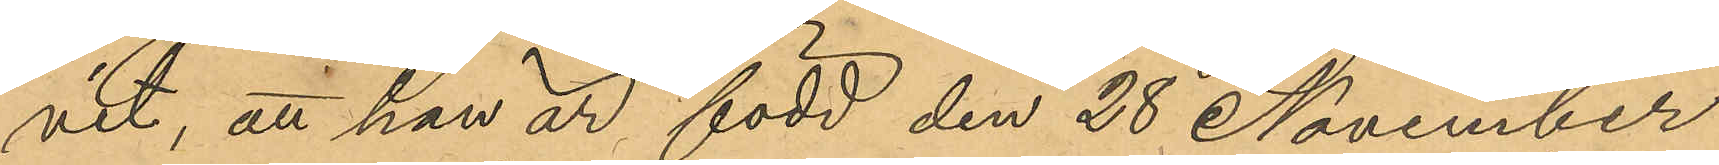vit, att han är född den 28 November
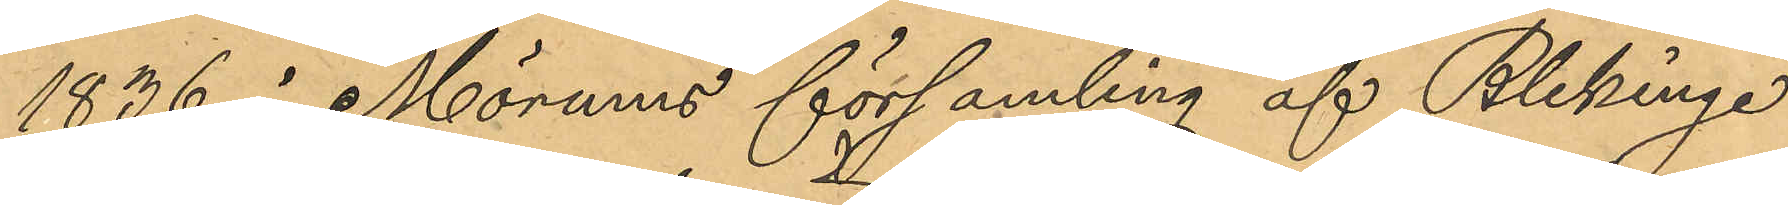1836 i Mörums församling af Blekinge.
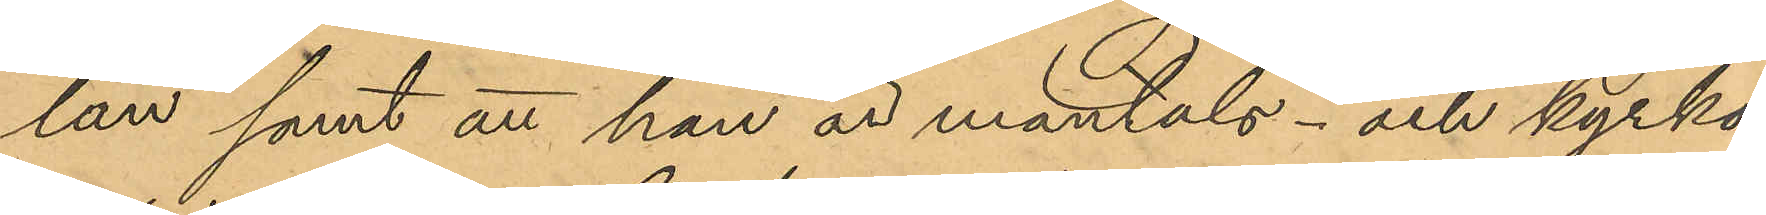län samt att han är mantals- och kyrko¬
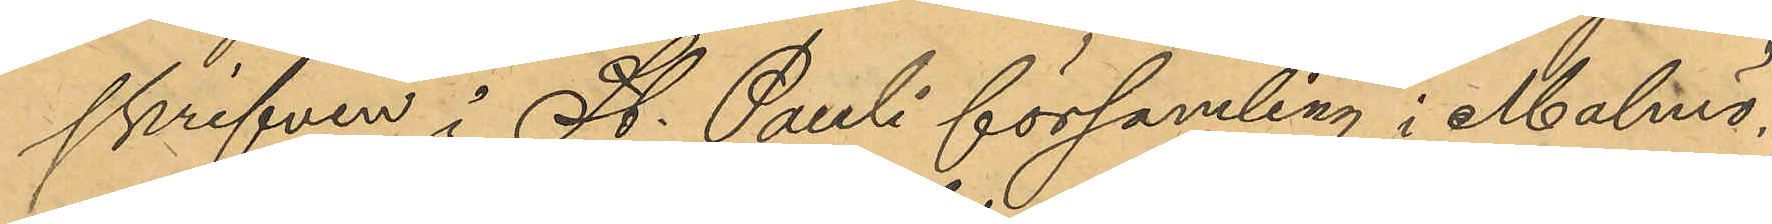skrifven i St. Pauli församling i Malmö,
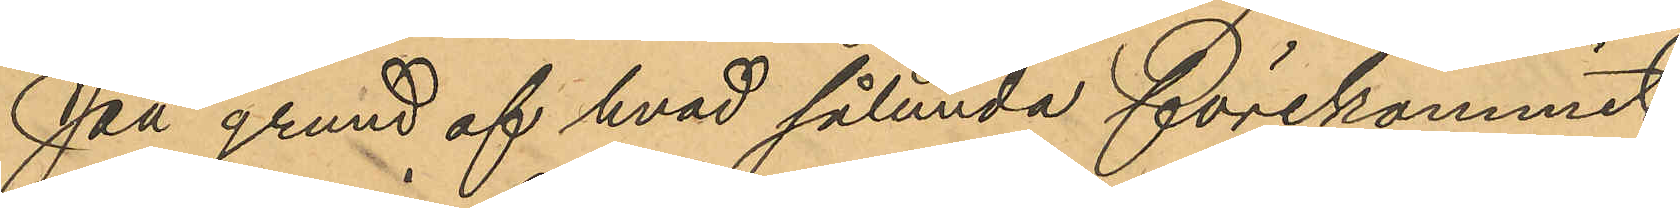På grund af hvad sålunda förekommit
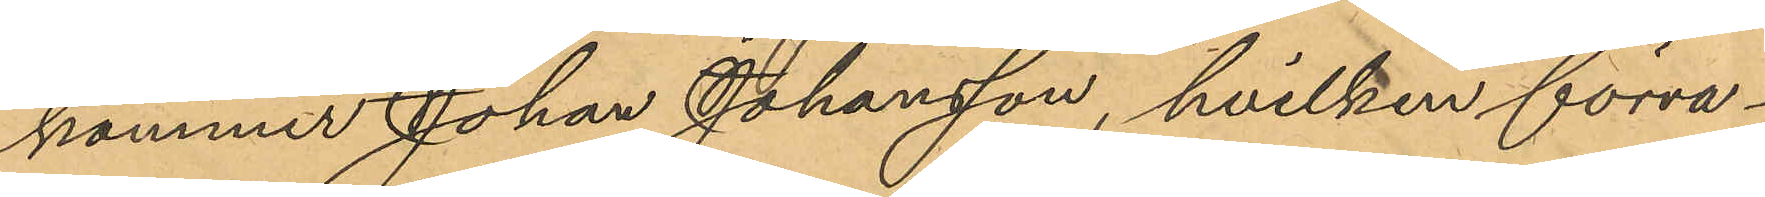kommer Johan Johansson, hvilken förva¬
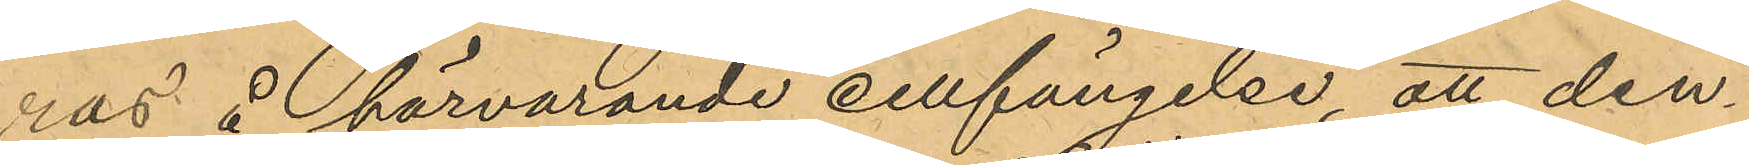ras å härvarande cellfängelse, att den¬
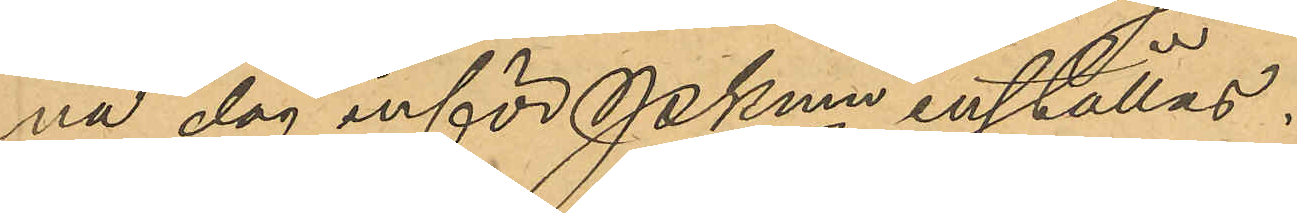na dag inför Pkmn inställas.
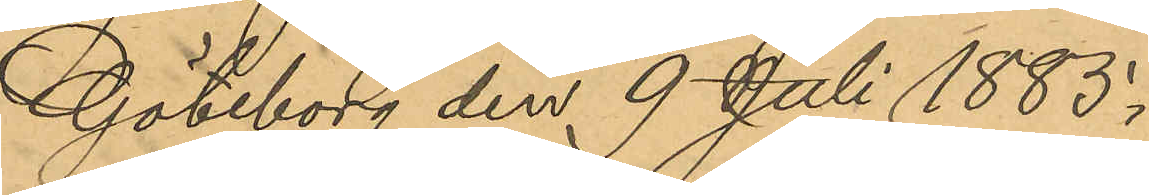Göteborg den 9 Juli 1883.
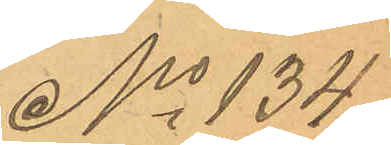No 134
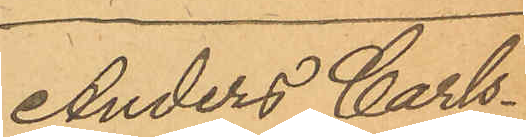Anders Carls¬
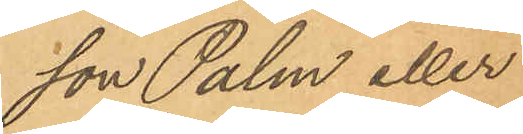son Palm eller
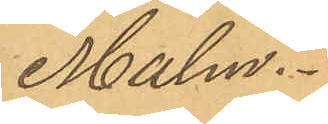Malm.
